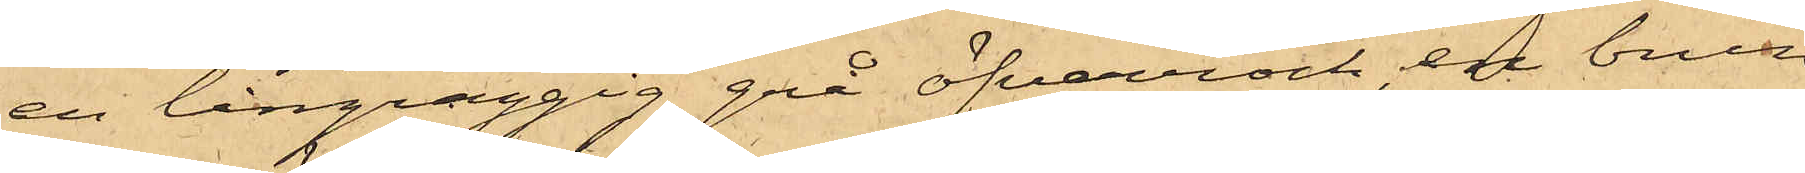en långraggig grå öfverrock, en brun
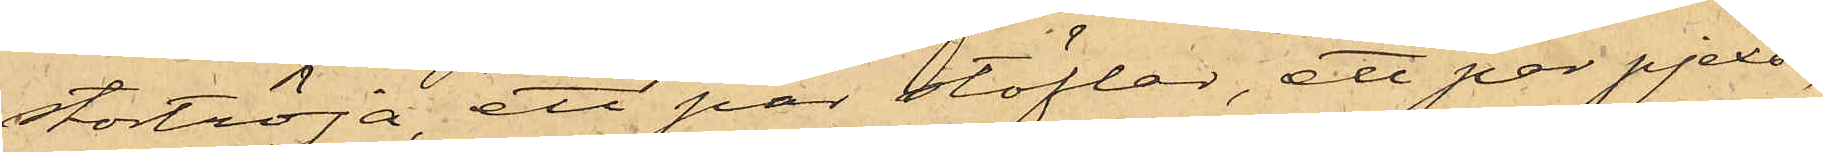stortröja, ett par stöflar, ett par pjexor,
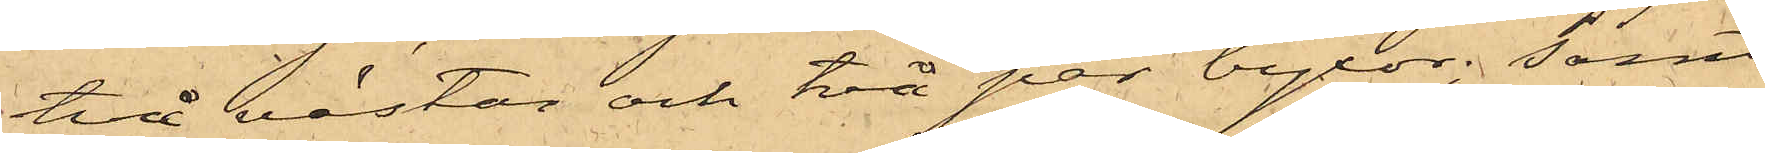två västar och två par byxor; samt
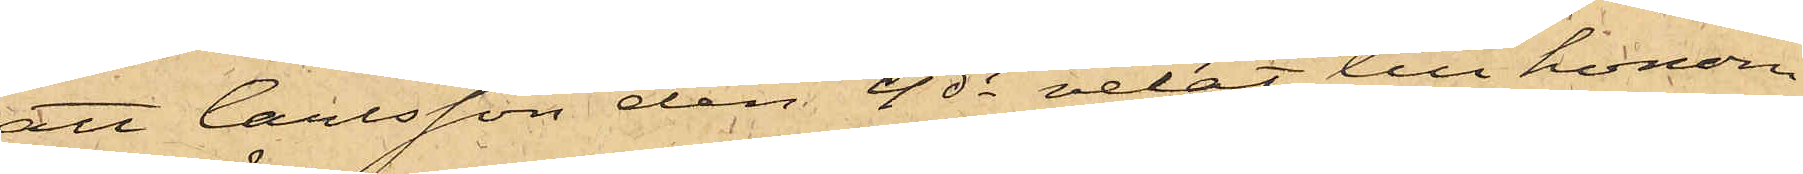att Carlsson den 4 ds velat till honom
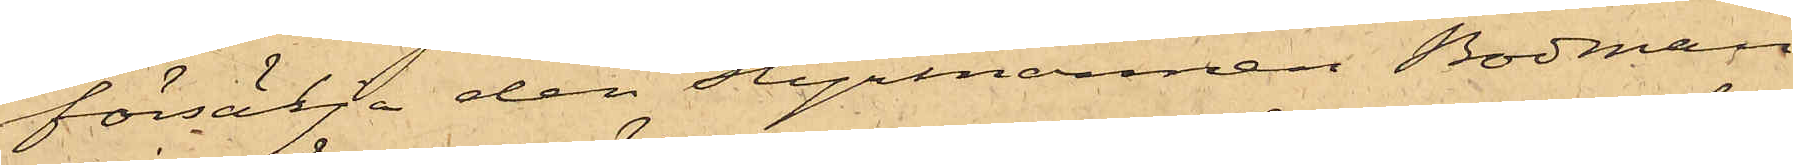försälja den Styrmannen Bodman
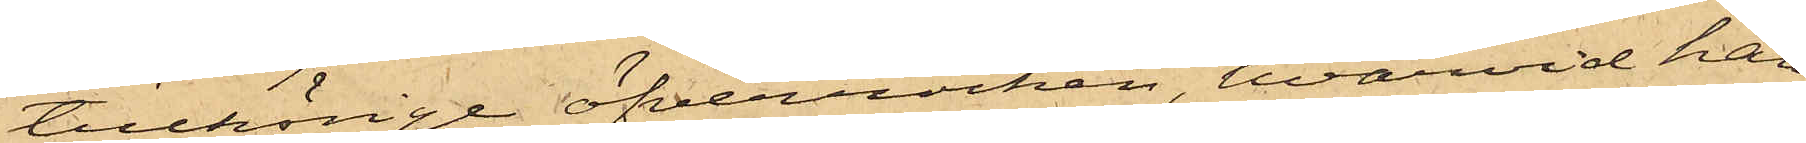tillhörige öfverrocken, hvarvid han
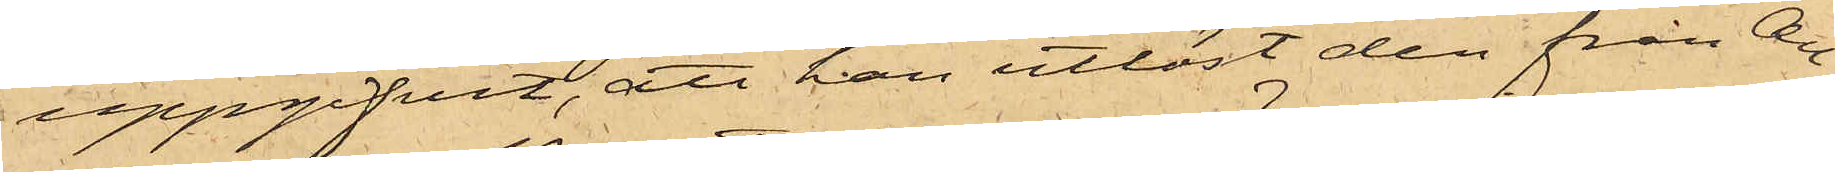uppgifvit, att han utlöst den från All¬
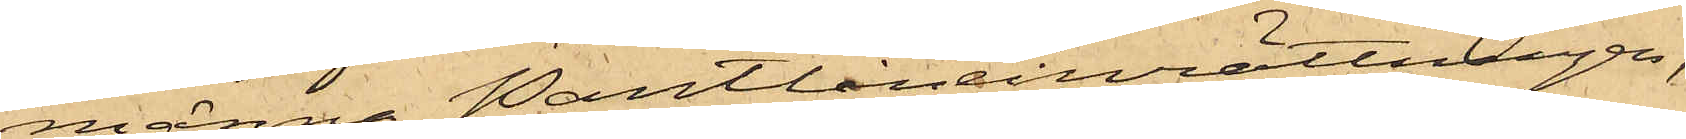männa Pantlåneinrättningen;
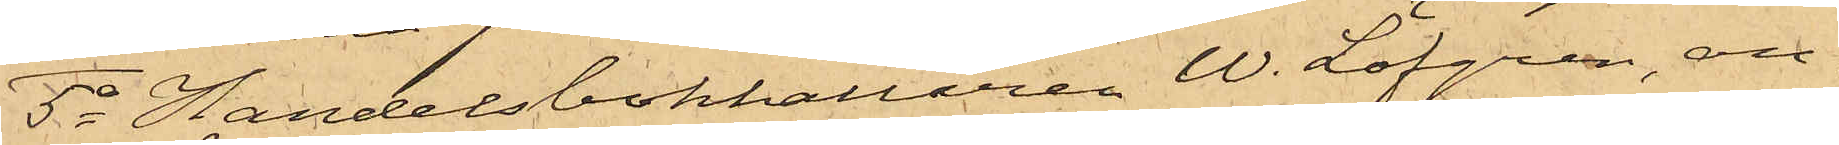5o Handelsbokhållaren W. Löfgren, an¬
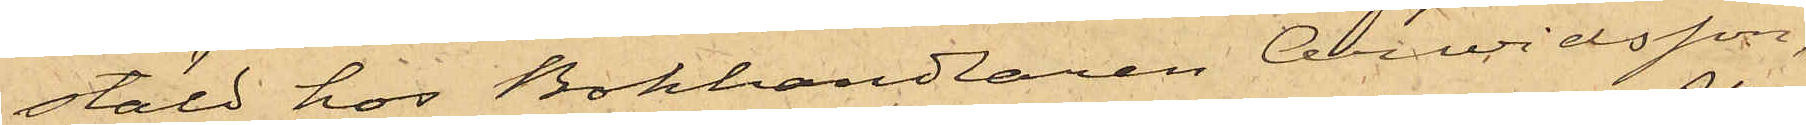stäld hos Bokhandlaren Arwidsson,
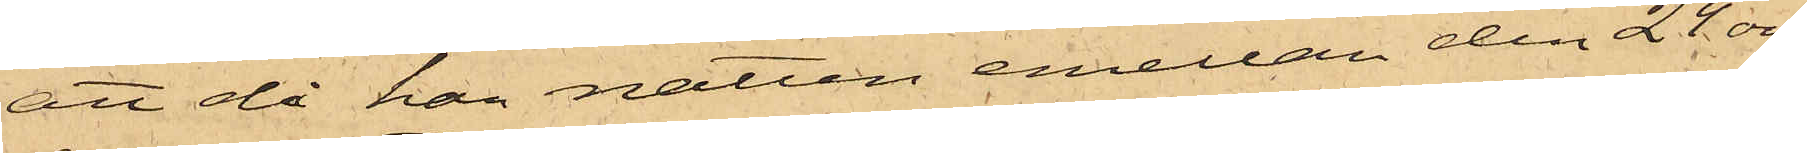att då han natten emellan den 24 och
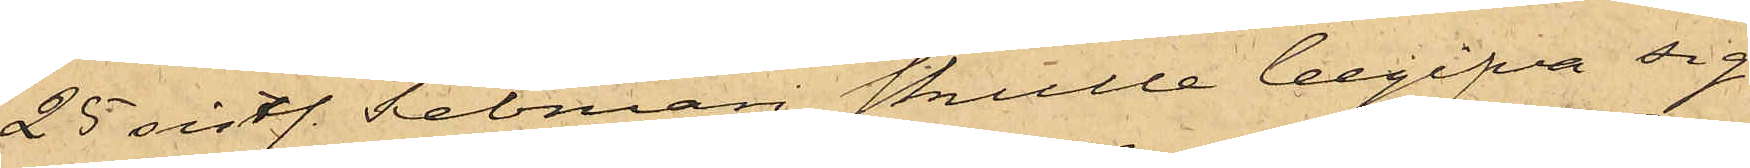25 sistl. Februari skulle begifva sig
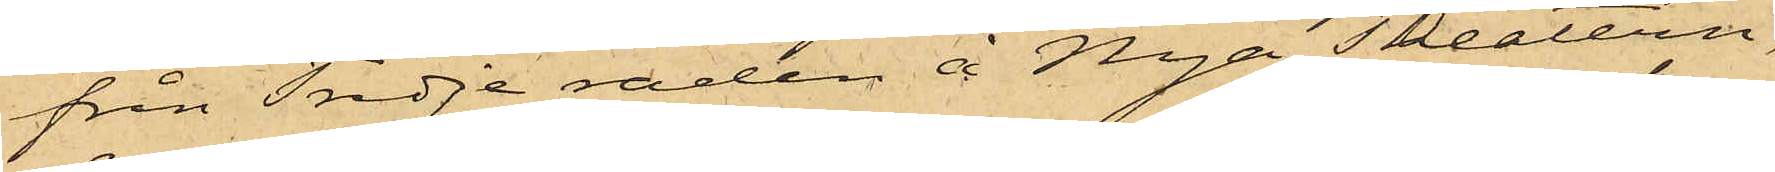från Tredje raden å Nya Theatern,
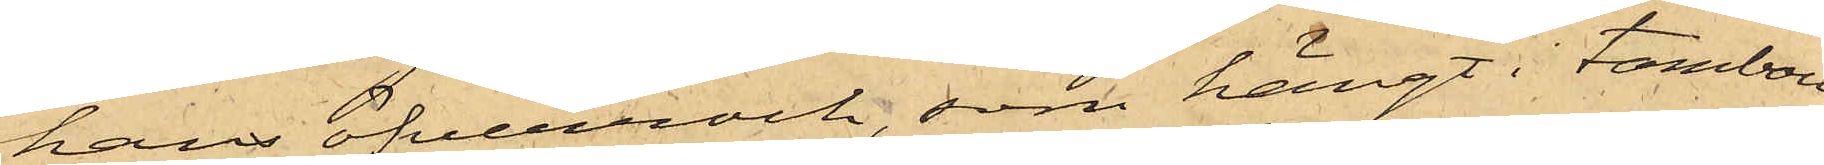hans öfverrock, som hängt i tambou¬
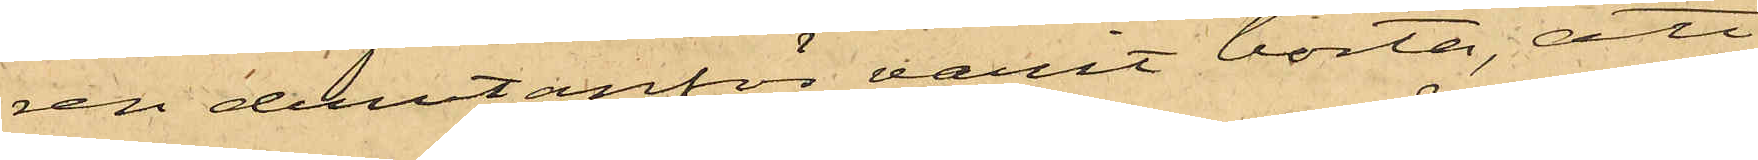ren derutanför varit borta, att
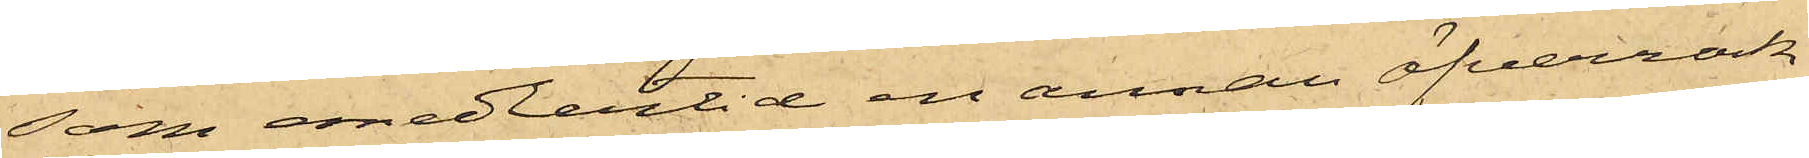som emedlertid en annan öfverrock
